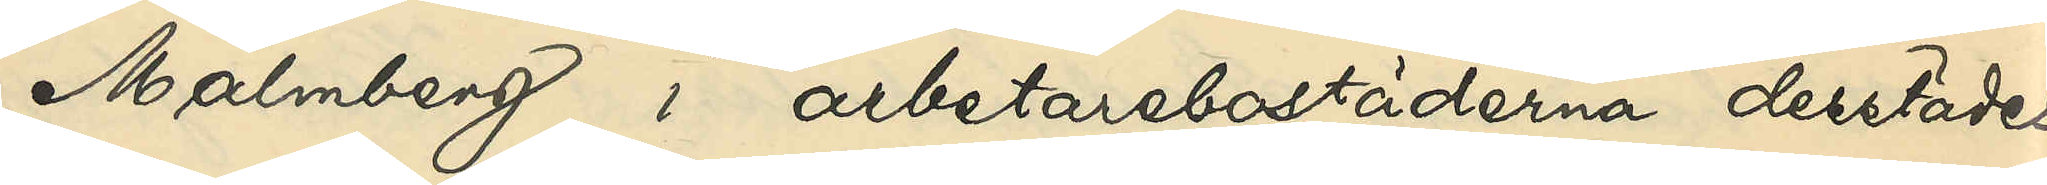Malmberg i arbetarebostäderna derstädes
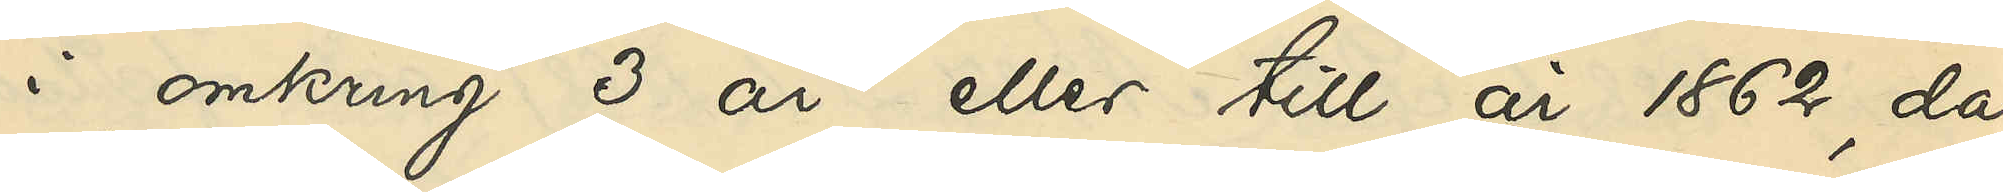i omkring 3 år eller till år 1862, då
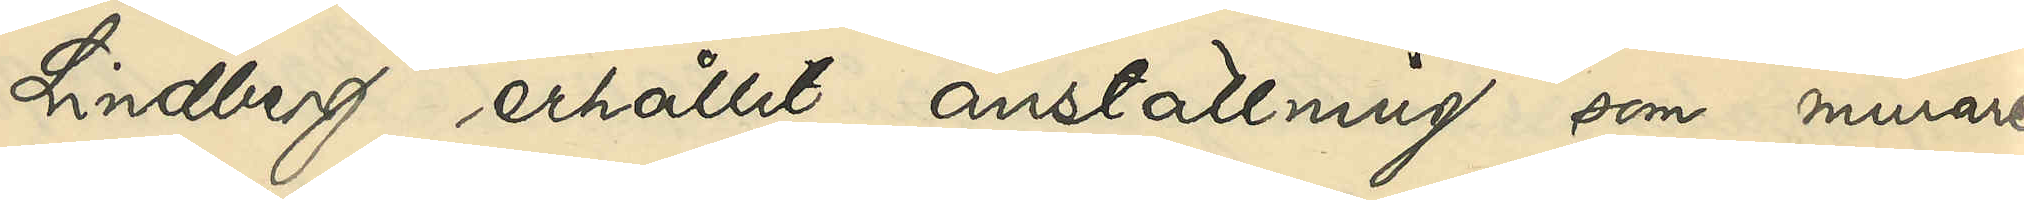Lindberg erhållit anställning som murare¬
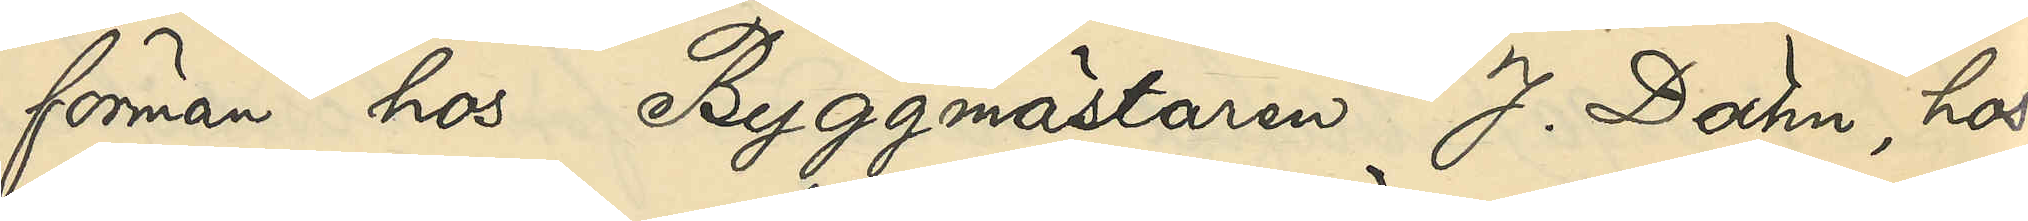förman hos Byggmästaren J. Dähn, hos
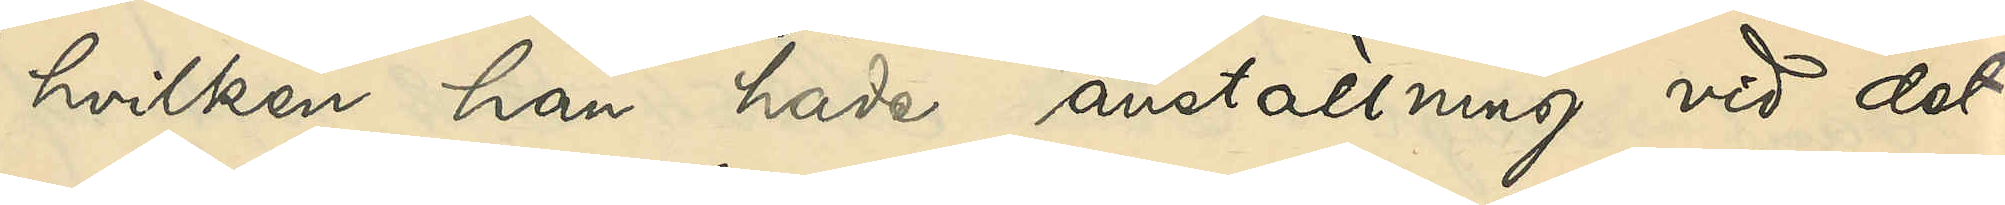hvilken han hade anställning vid det
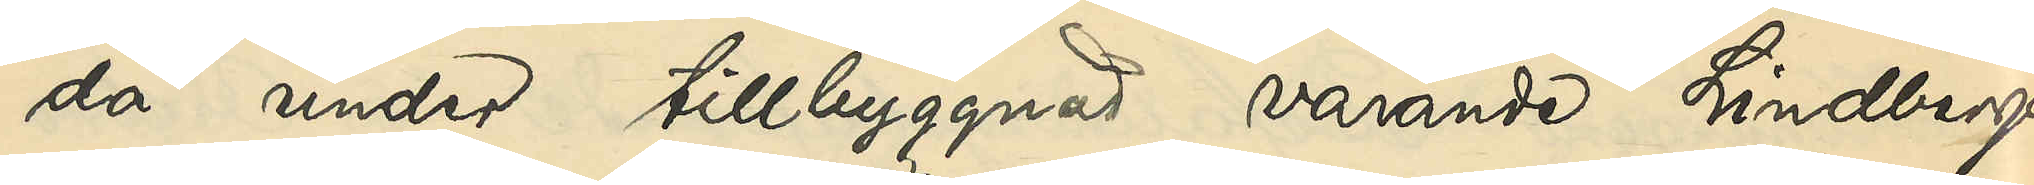då under tillbyggnad varande Lindbergs¬
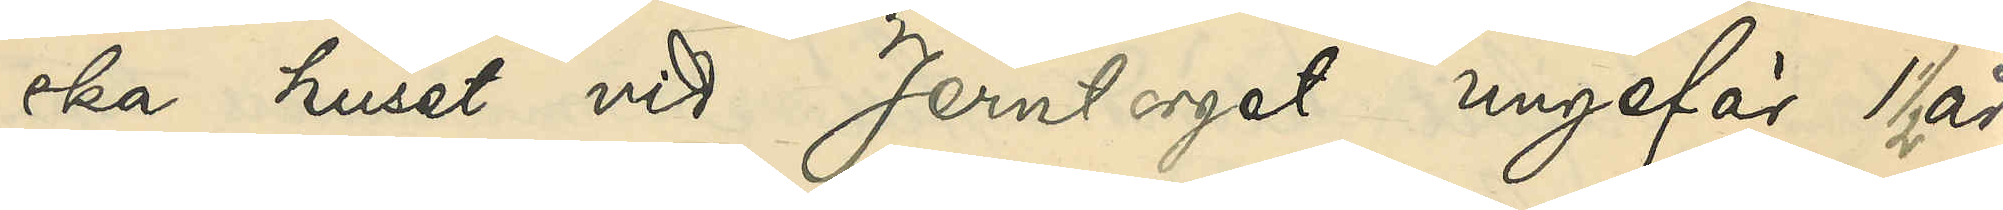ska huset vid Jerntorget ungefär 1 ½ år
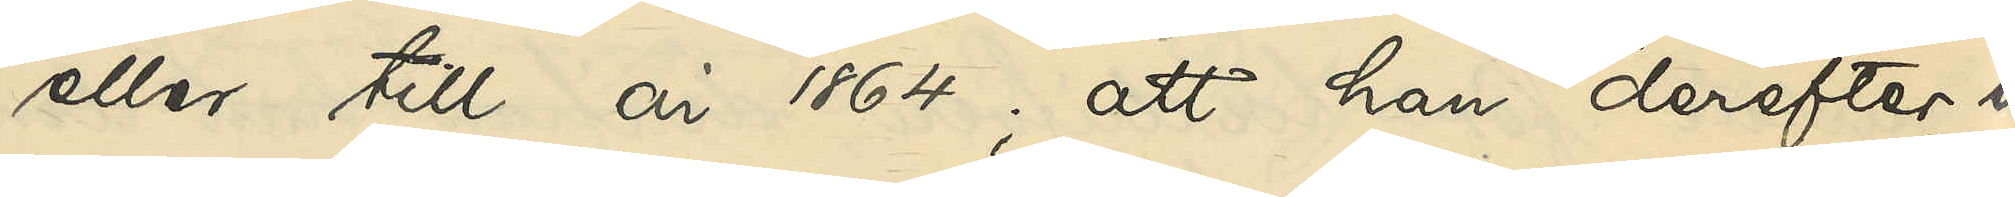eller till år 1864; att han derefter un¬
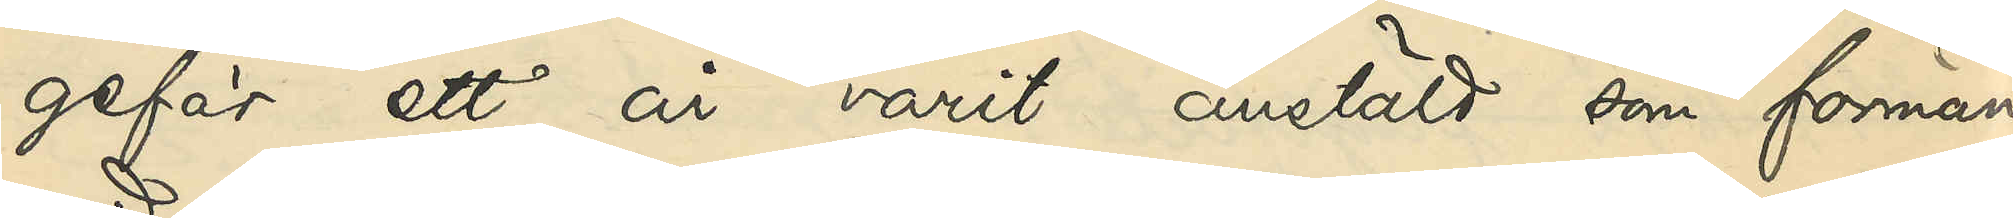gefär ett år varit anstäld som förman
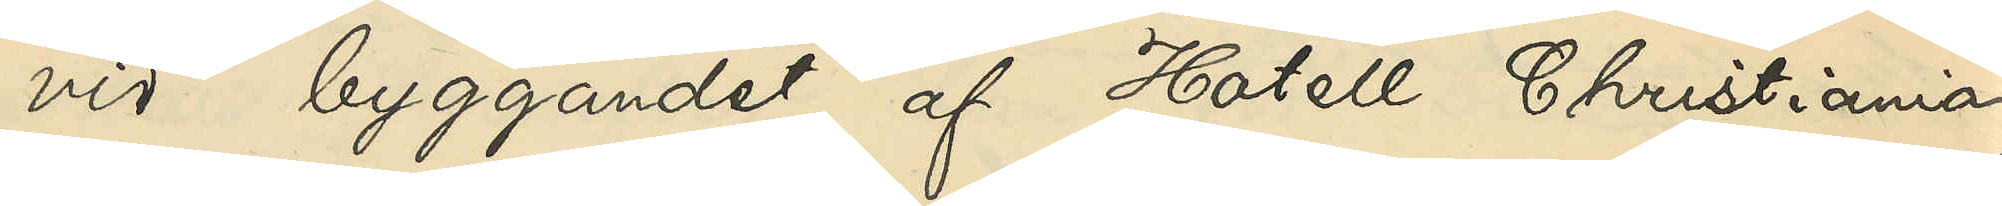vid byggandet af Hotell Christiania;
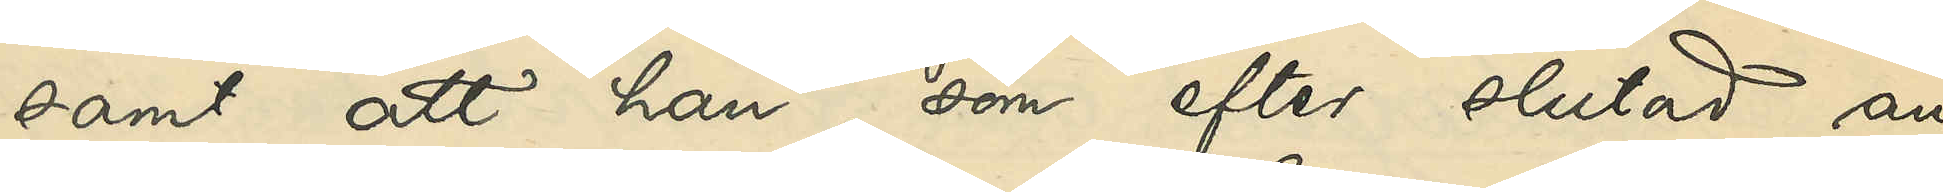samt att han, som efter slutad an¬
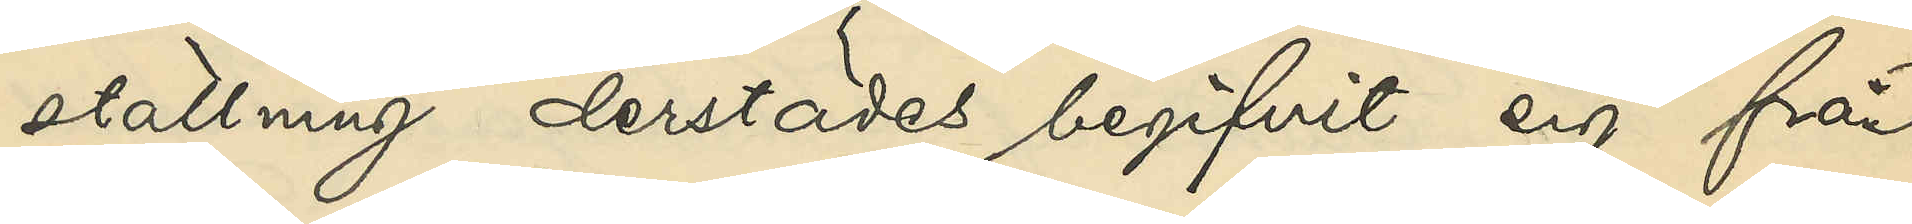ställning derstädes begifvit sig från
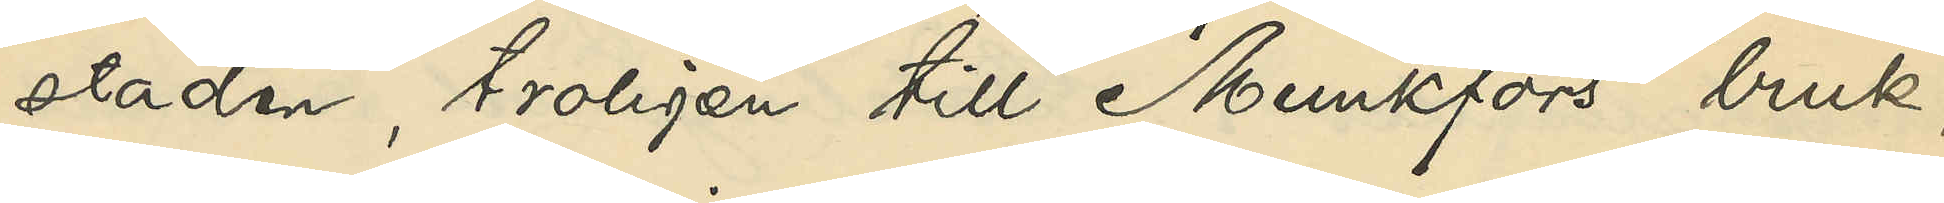staden, troligen till Munkfors bruk,
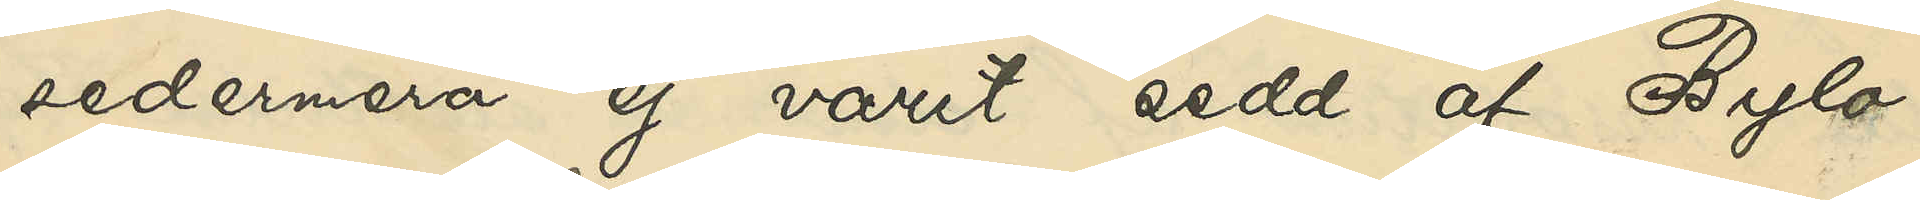sedermera ej varit sedd af Bylo.
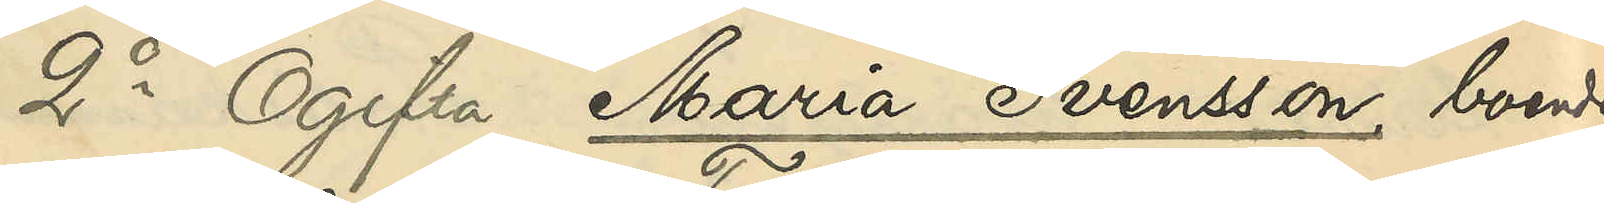2o Ogifta Maria Svensson, boende
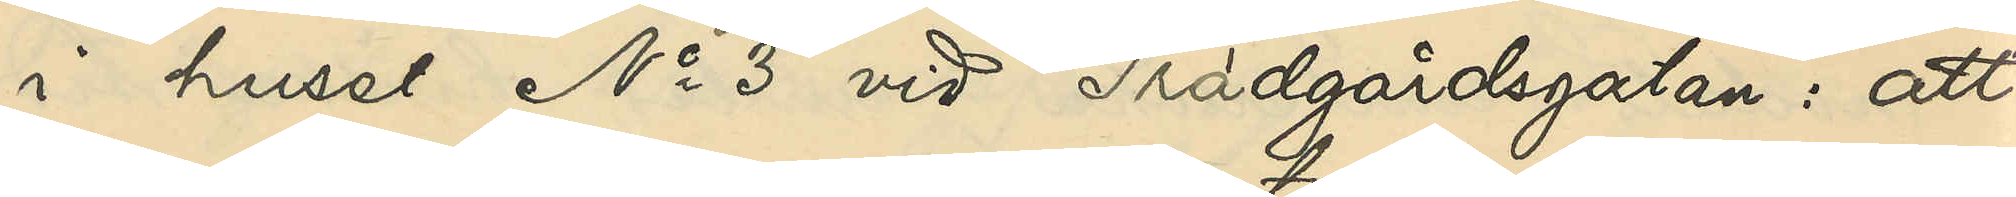i huset No 3 vid Trädgårdsgatan: att
